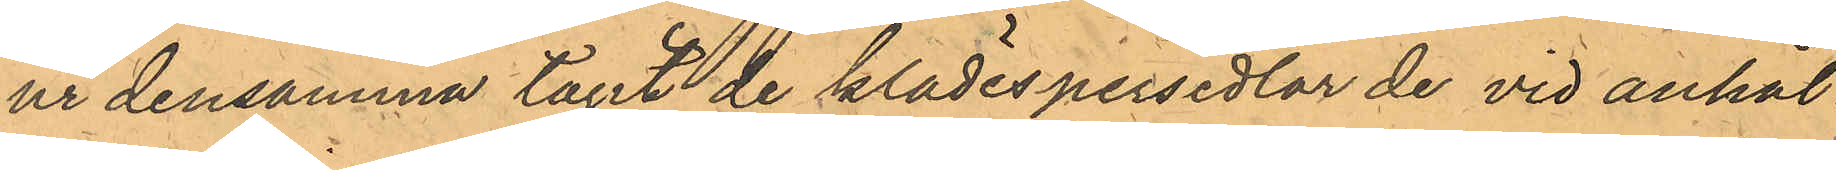ur densamma tagit de klädespersedlar de vid anhål¬
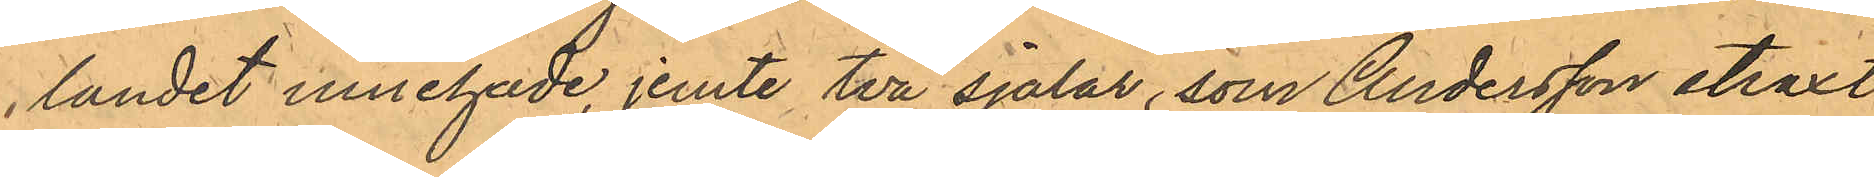landet innehade, jemte två sjalar, som Andersson straxt
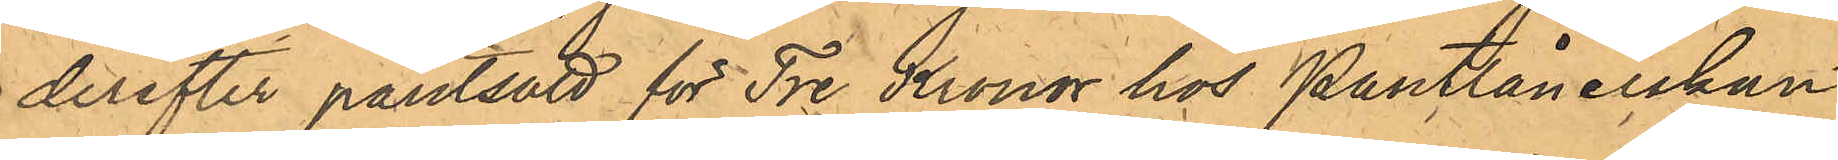derefter pantsatt för Tre Kronor hos Pantlånerskan
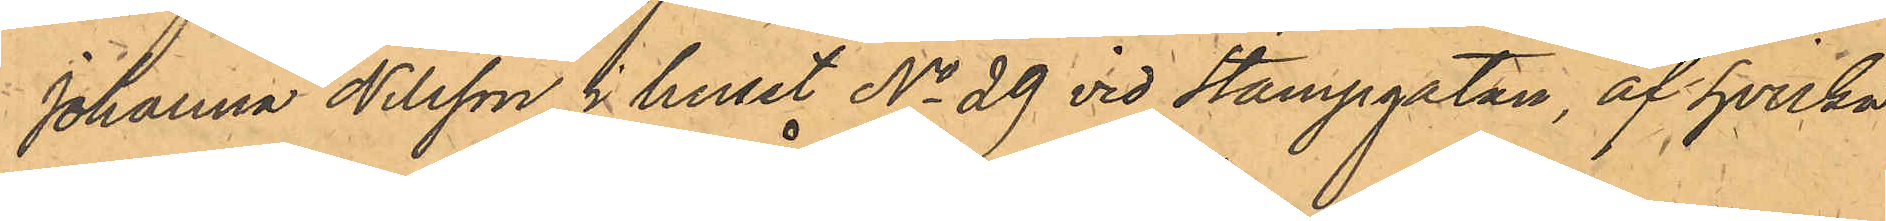Johanna Nilsson i huset No 29 vid Stampgatan, af hvilka
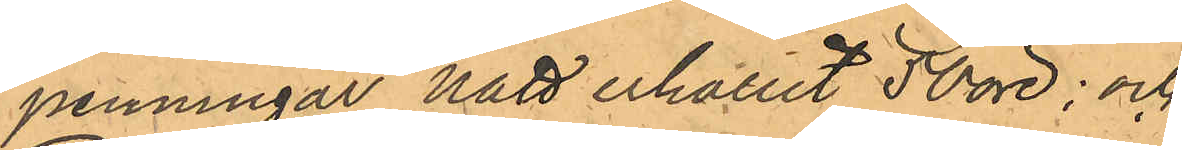penningar Nätt erhållit 50 öre; och
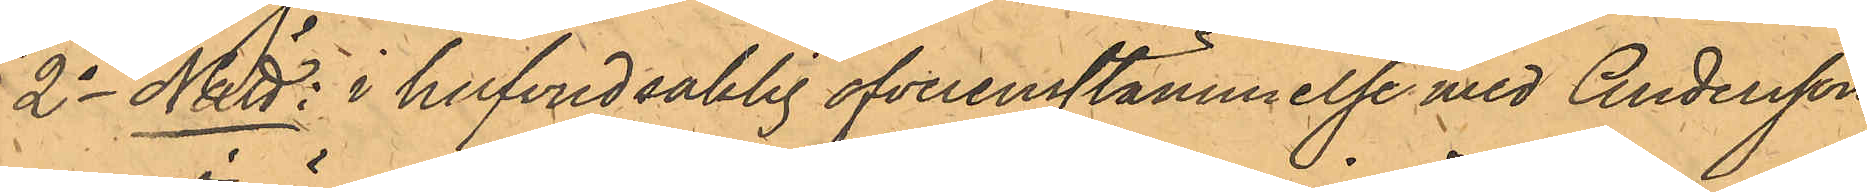2o Nätt: i hufvudsaklig öfverensstämmelse med Andersson,
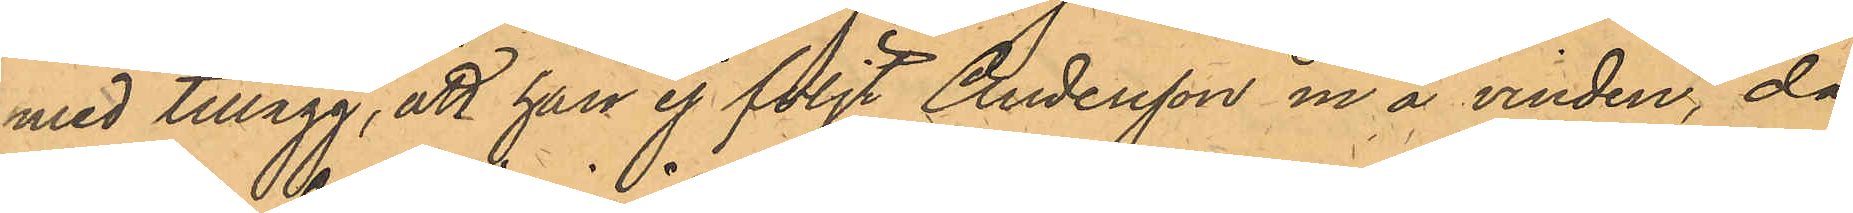med tillägg, att han ej följt Andersson in å vinden, då
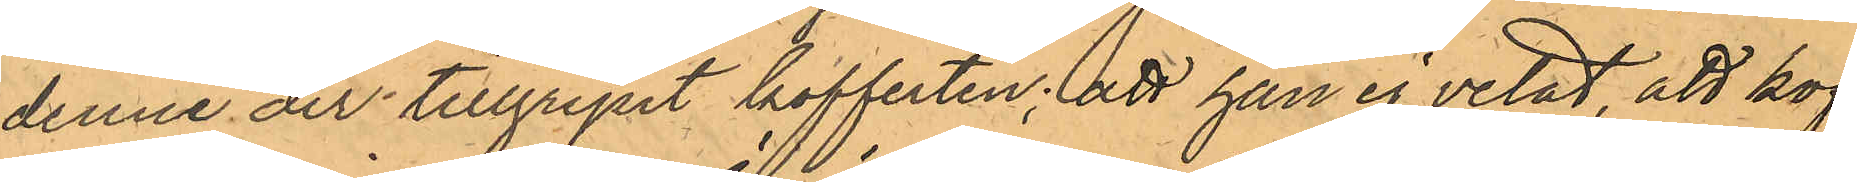denne der tillgripit kofferten; att han ej vetat, att kof¬
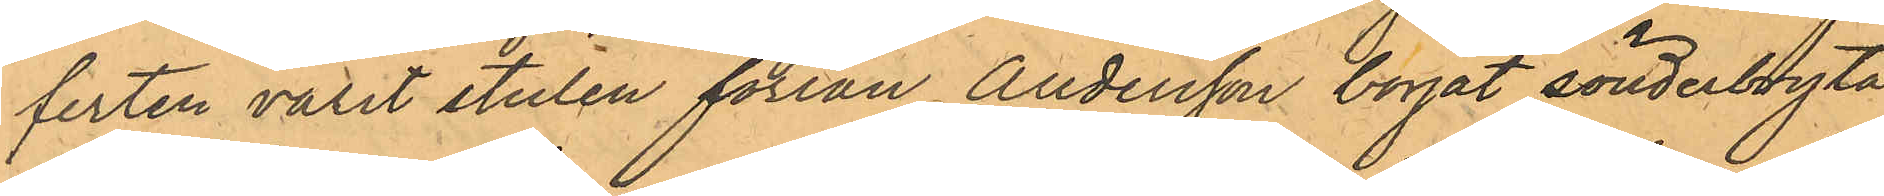ferten varit stulen förrän Andersson börjat sönderbryta
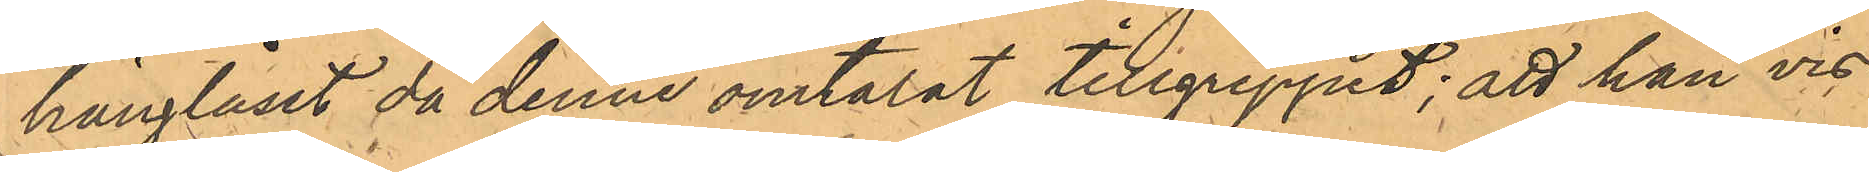hänglåset då denne omtalat tillgreppet; att han vis¬
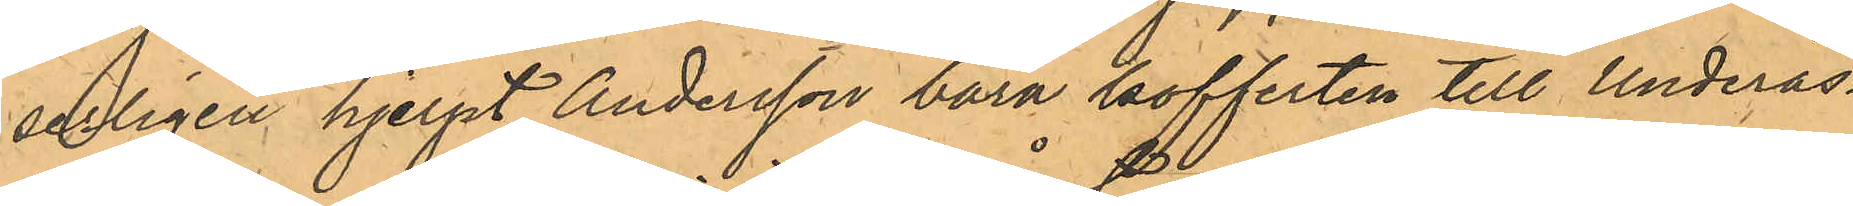serligen hjelpt Andersson bära kofferten till Underås-
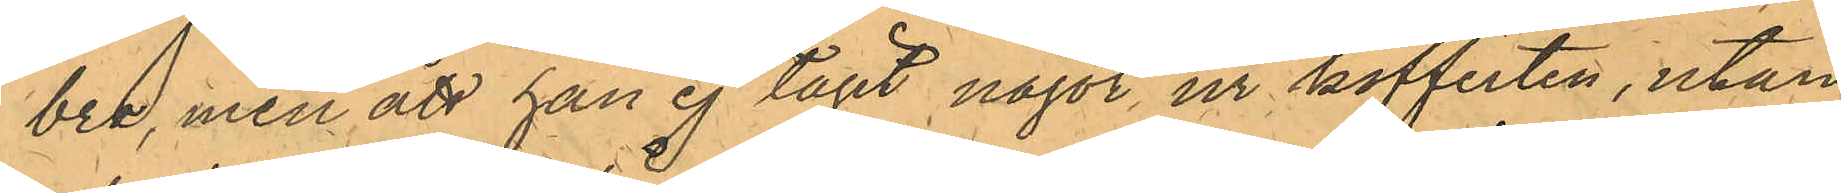bro, men att han ej tagit något ur kofferten, utan
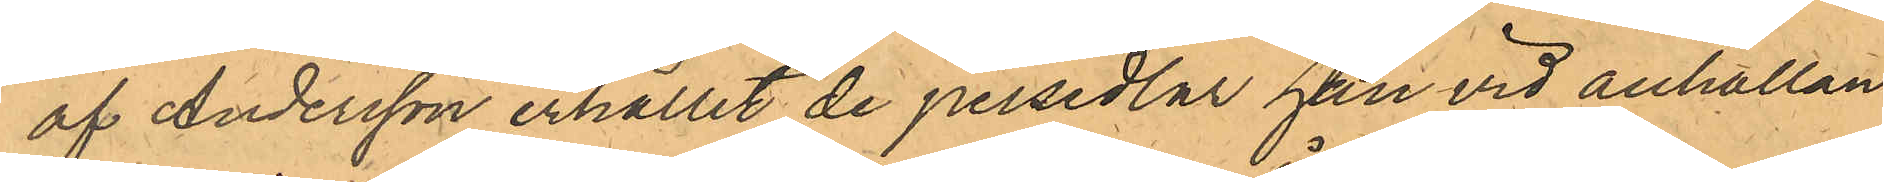af Andersson erhållit de persedlar han vid anhållan¬
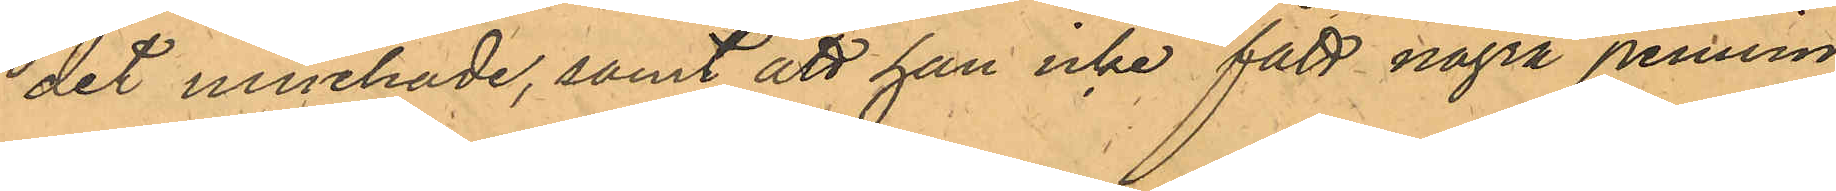det innehade, samt att han icke fått några pennin¬
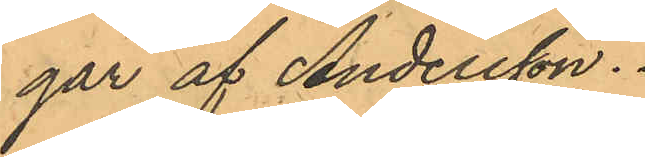gar af Andersson.
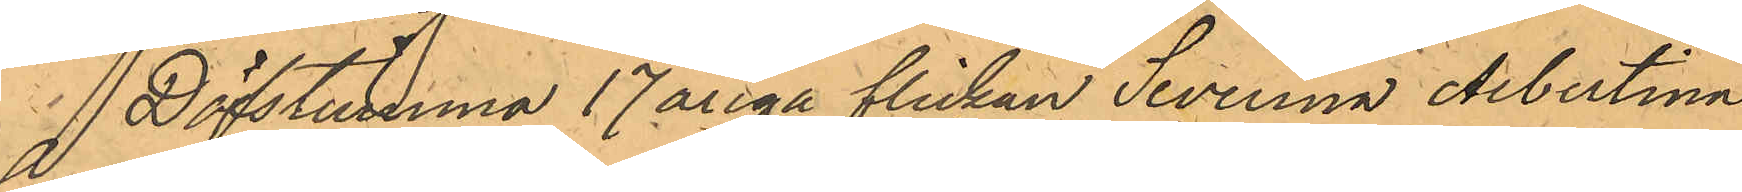Döfstumma 17åriga flickan Severina Albertina
